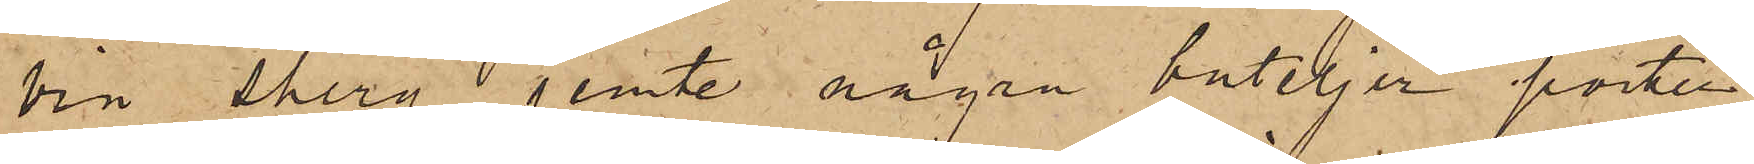vin shery jemte några buteljer porter;
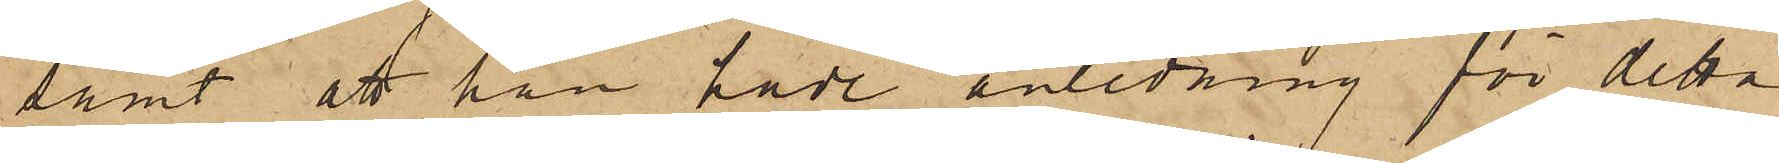samt att han hade anledning för detta
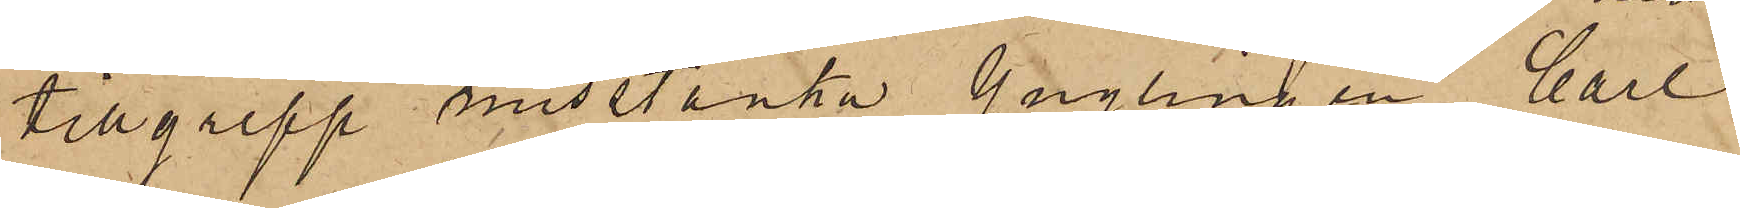tillgrepp misstänka Ynglingen Carl
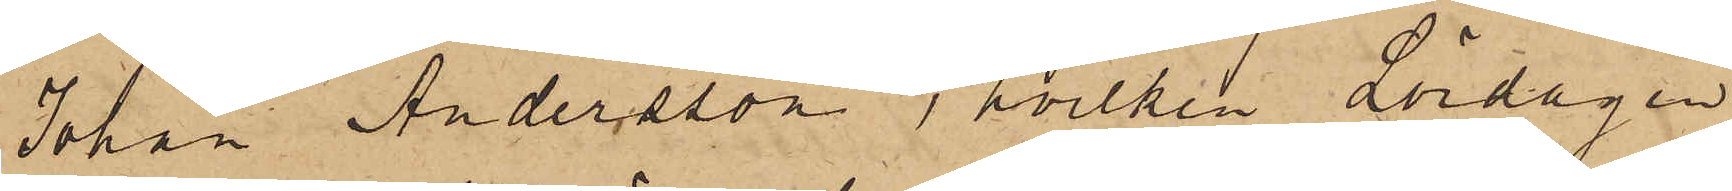Johan Andersson, hvilken Lördagen
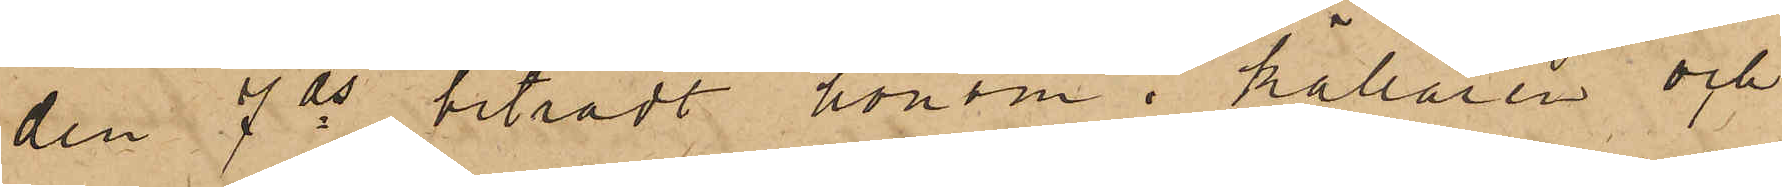den 7 ds biträdt honom i källaren och
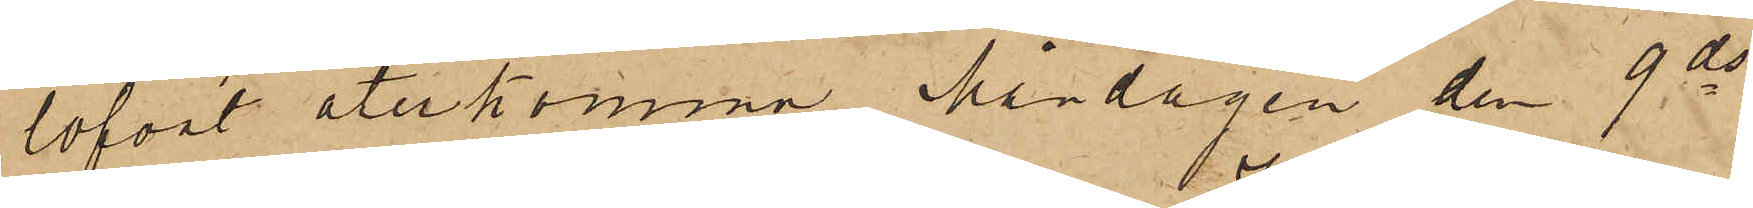lofvat återkomma Måndagen den 9 ds
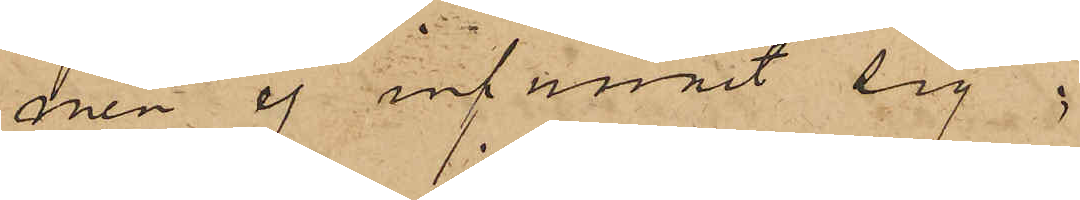men ej infunnit sig;
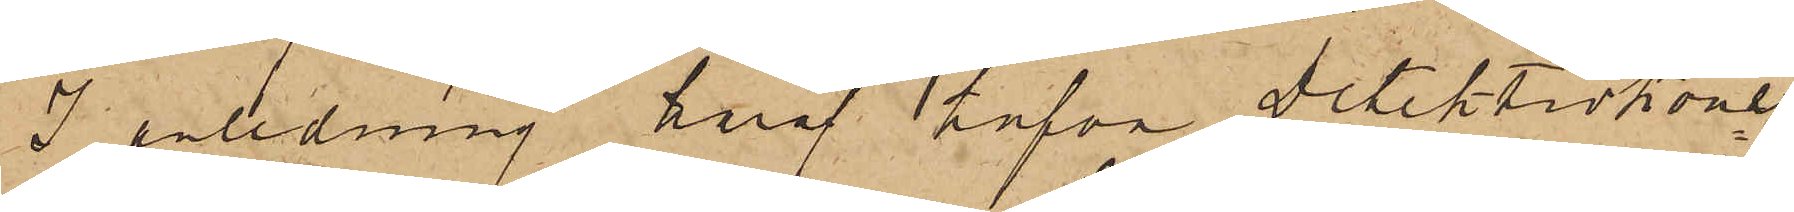I anledning häraf hafva detektivkonst.
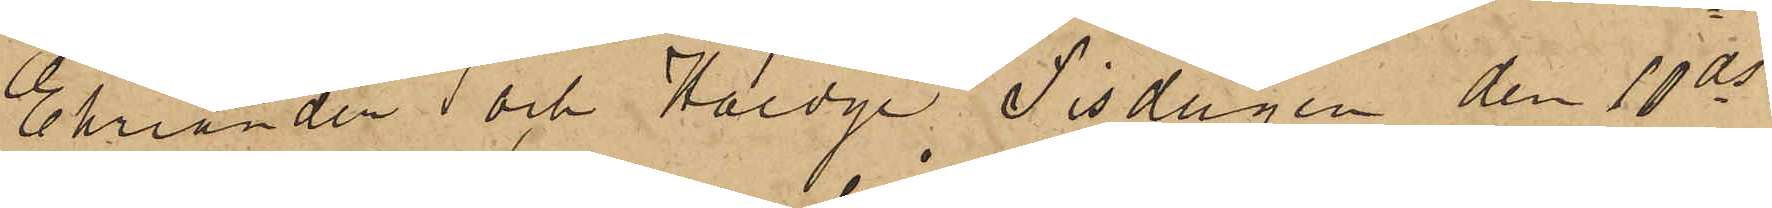Ehriander och Haedge, Tisdagen den 10 ds
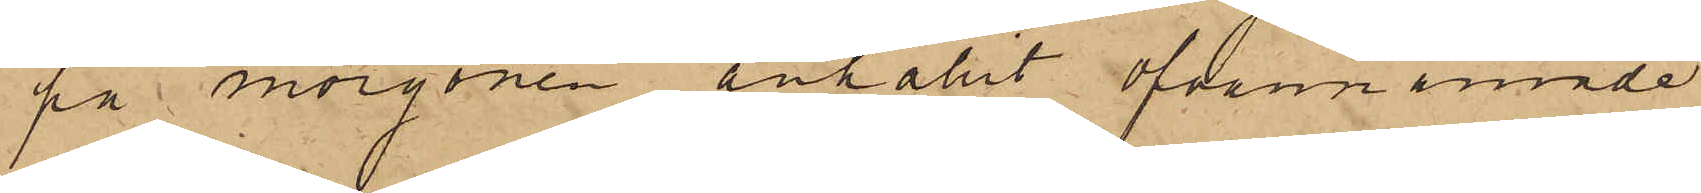på morgonen anhållit ofvannämnde
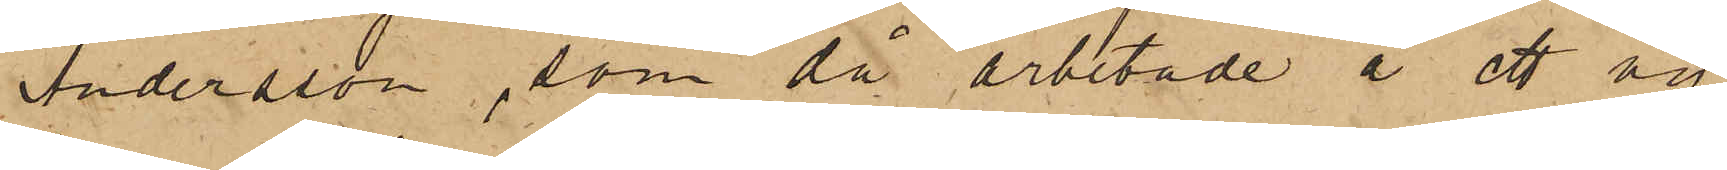Andersson, som då arbetade å ett ny¬
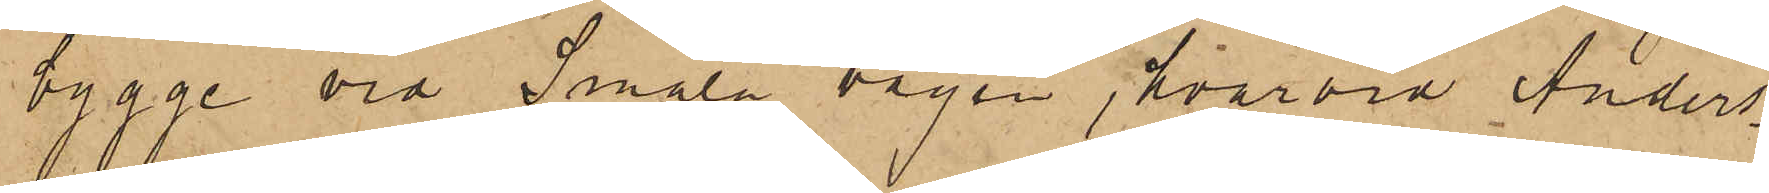bygge vid Smala vägen, hvarvid Anders¬
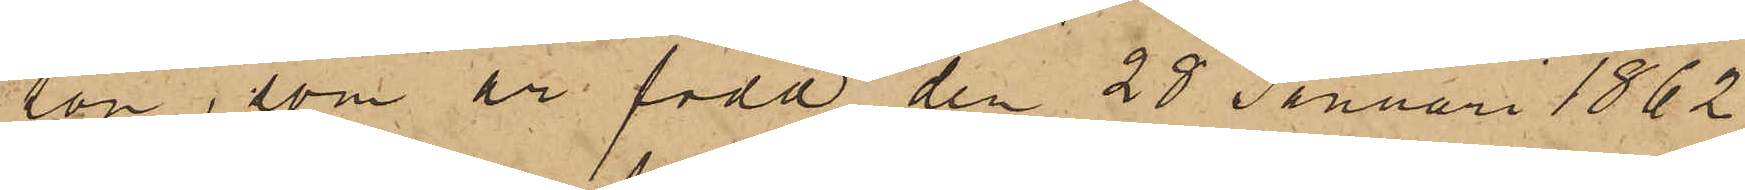son, som är född den 28 Januari 1862
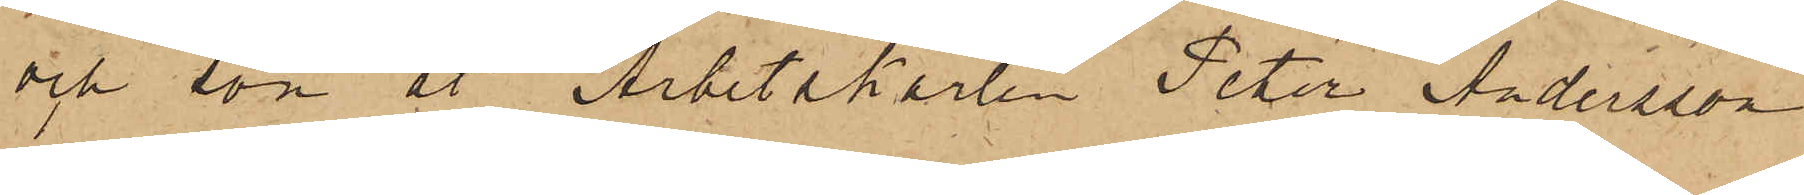och son åt Arbetskarlen Peter Andersson
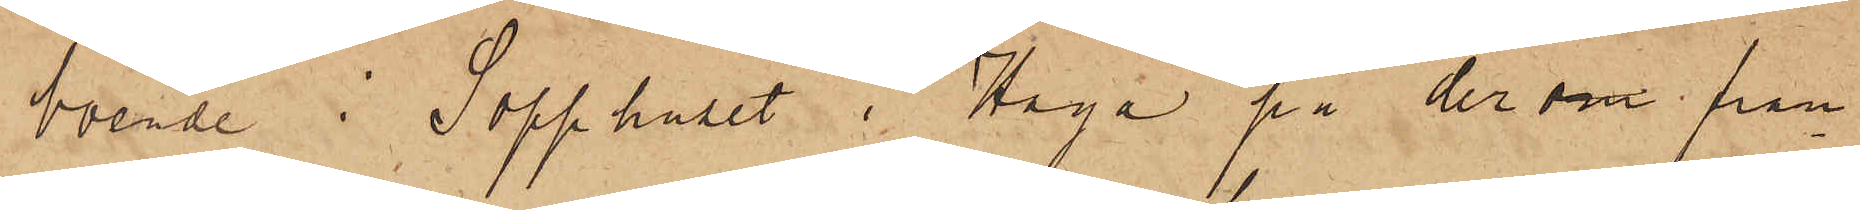boende i Sopphuset i Haga på derom fram¬
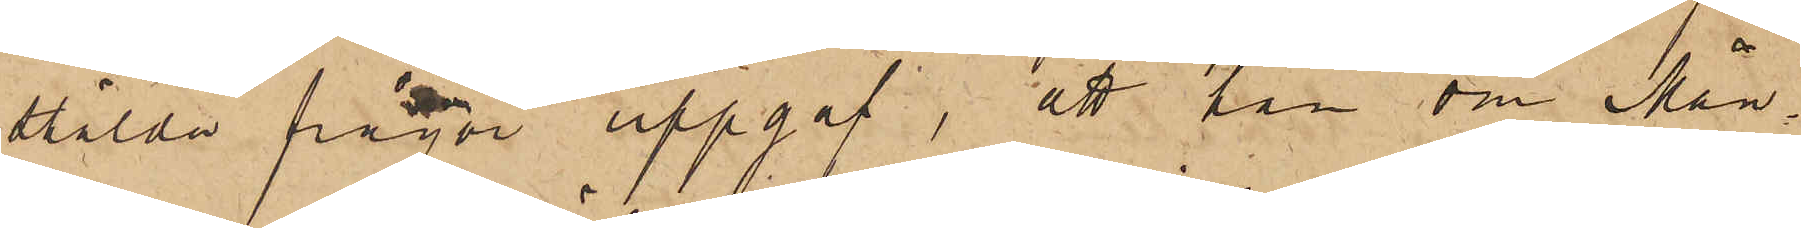stälda frågor uppgaf, att han om Mån¬
